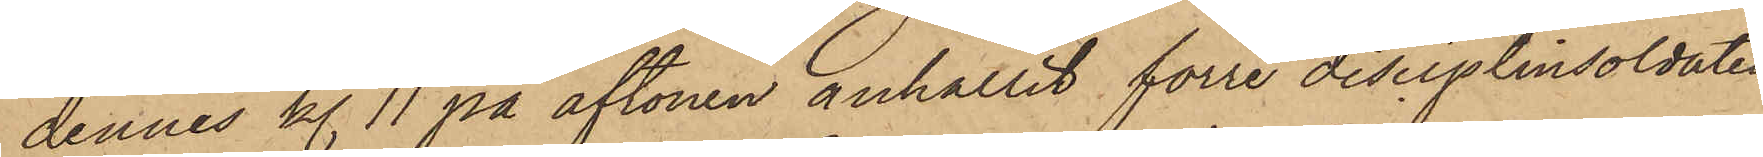dennes kl. 11 på aftonen anhållit förre disciplinsoldaten
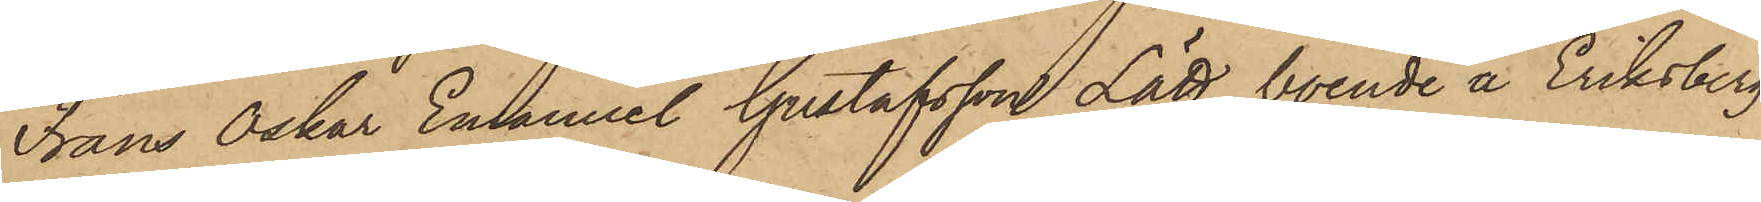Frans Oskar Emanuel Gustafsson Lätt, boende å Eriksberg
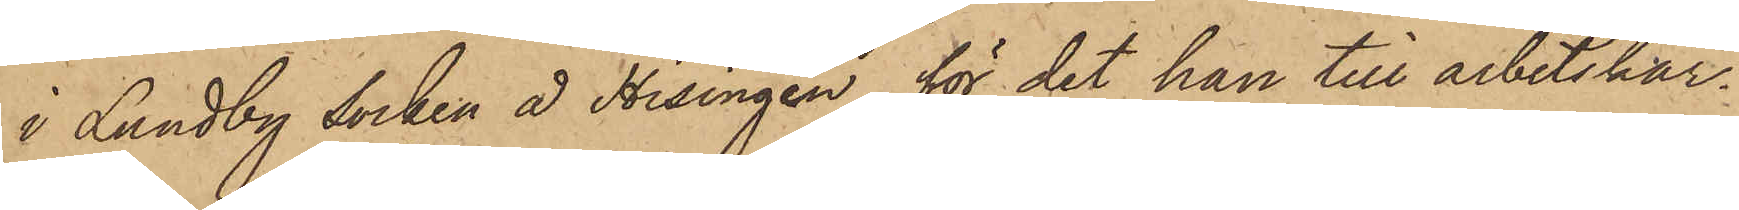i Lundby socken å Hisingen, för det han till arbetskar¬
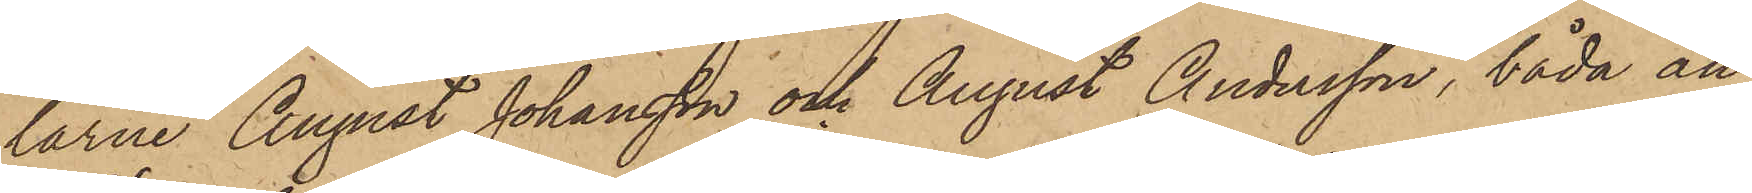larne August Johansson och August Andersson, båda an¬
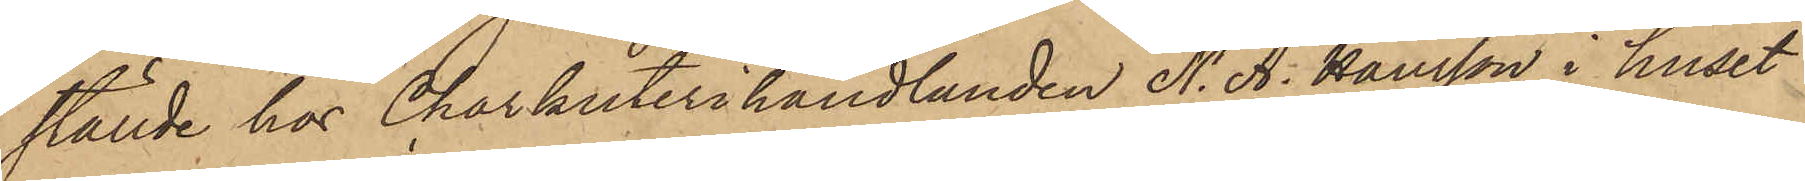ställde hos Charkuterihandlanden N. A. Hansson i huset
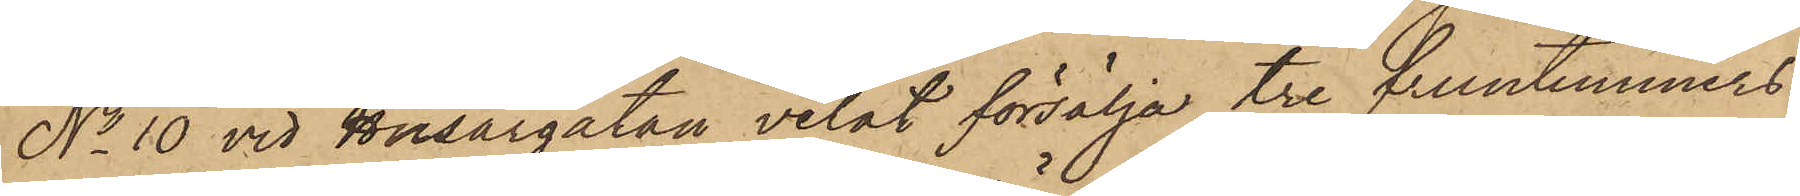No 10 vid Husargatan velat försälja tre fruntimmers¬
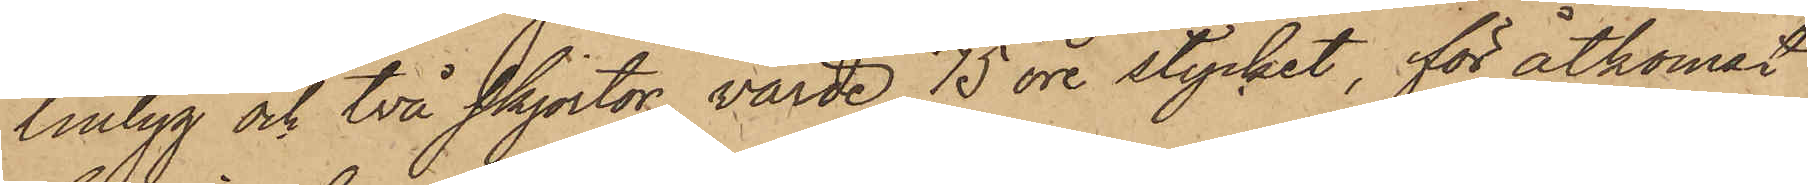lintyg och två skjortor, värde 75 öre stycket, för åtkomst
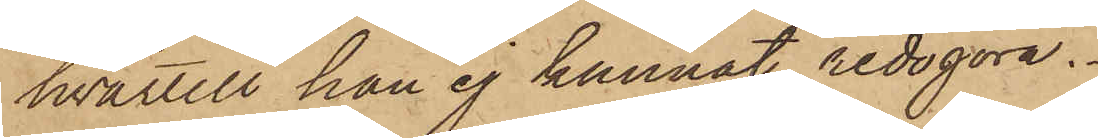hvartill han ej kunnat redogöra.
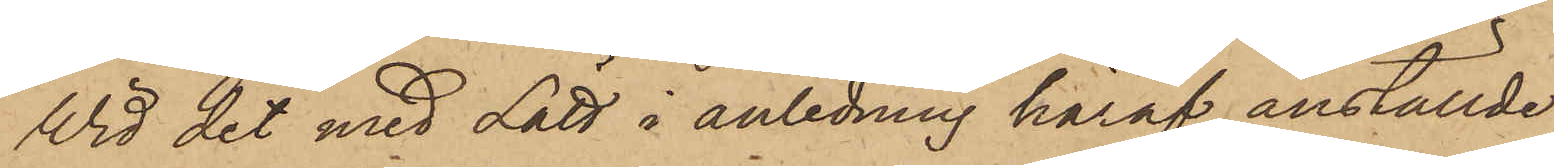Wid det med Lätt i anledning häraf anställde
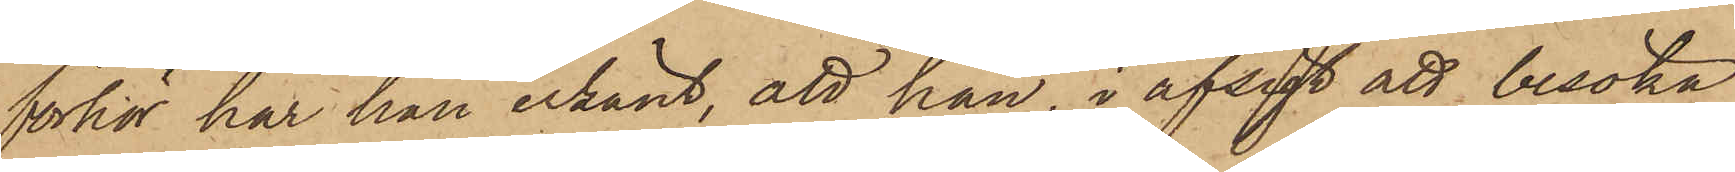förhör har han erkänt, att han, i afsigt att besöka
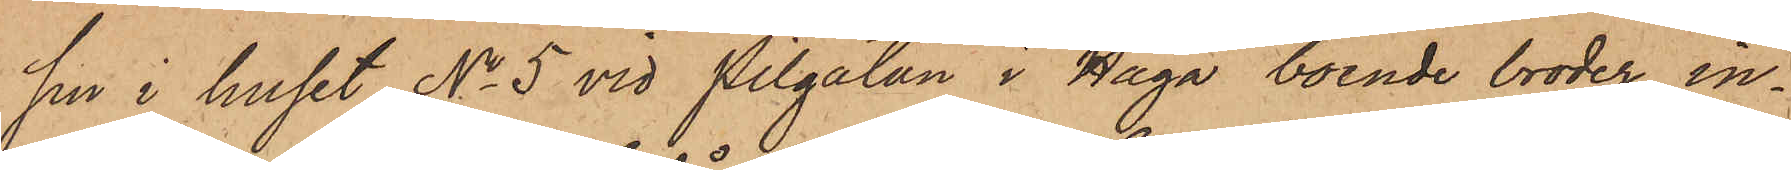sin i huset No 5 vid Pilgatan i Haga boende broder, in¬
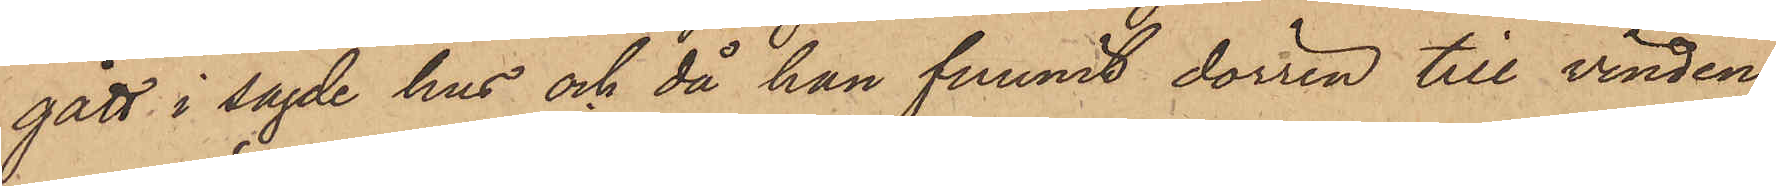gått i sagde hus och då han funnit dörren till vinden
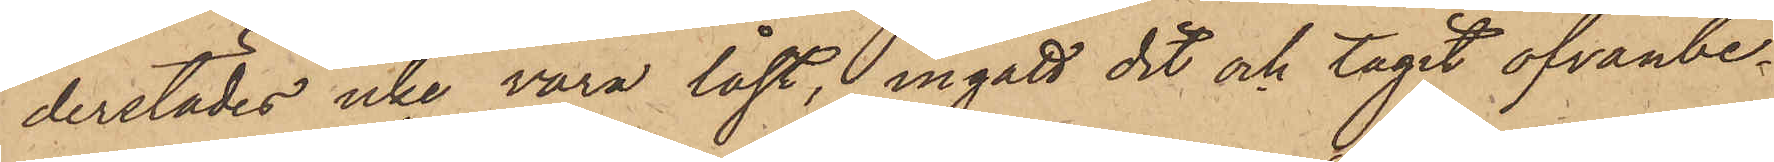derstädes icke vara låst, ingått dit och tagit ofvanbe¬
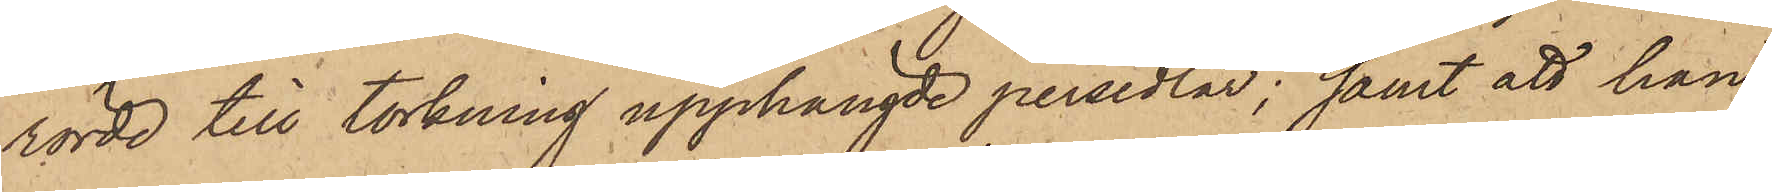rörde till torkning upphängde persedlar; samt att han
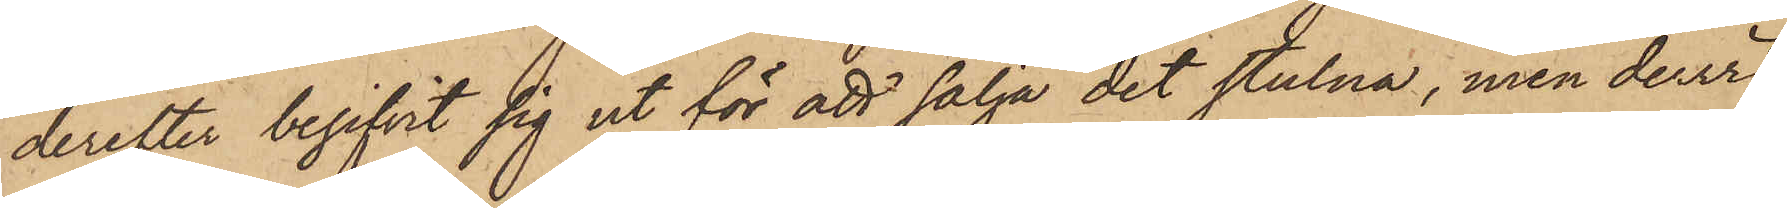derefter begifvit sig ut för att sälja det stulna, men dervid
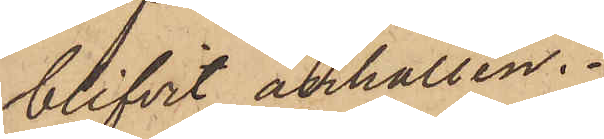blifvit anhållen.
